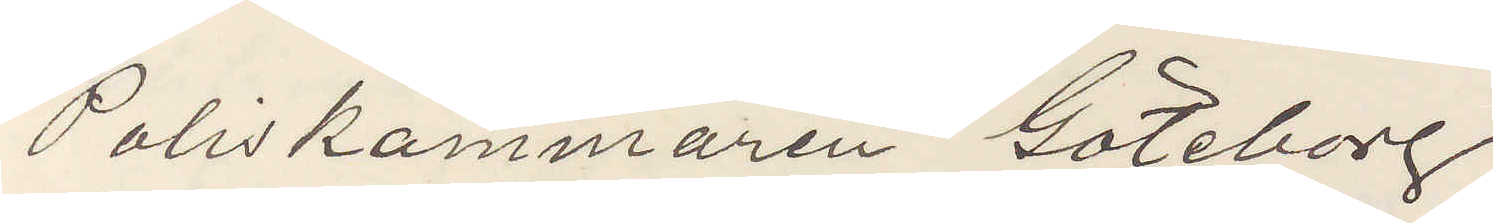Poliskammaren Göteborg.
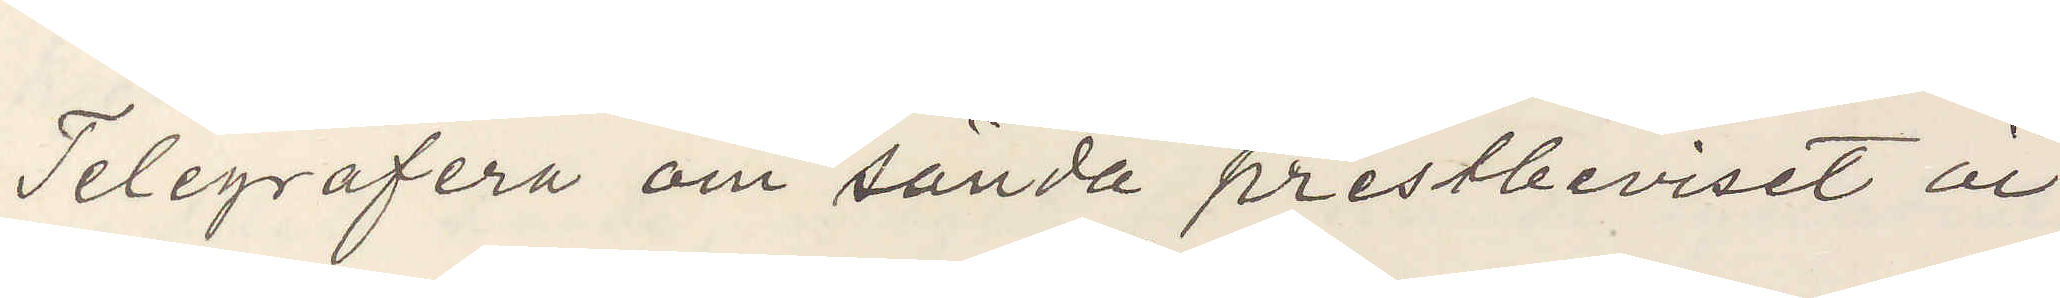Telegrafera om sända prestbeviset är
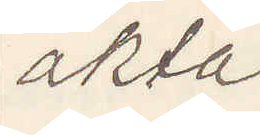äkta.
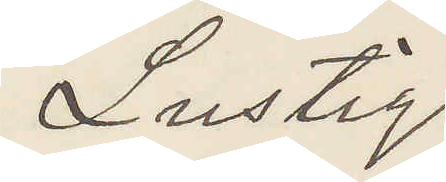Lustig
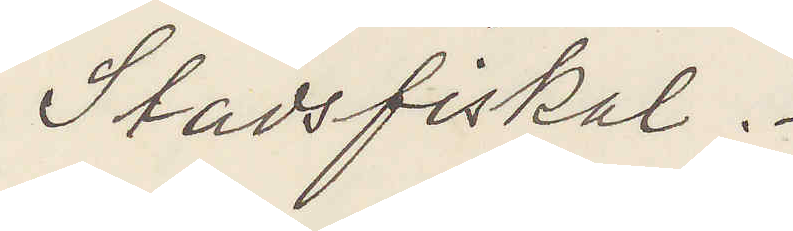Stadsfiskal.
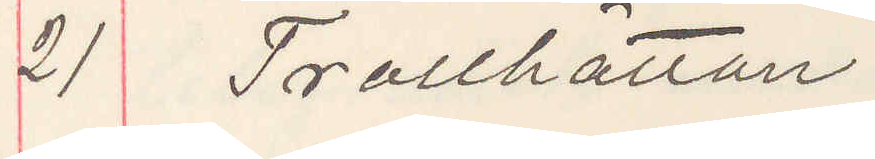21 Trollhättan.
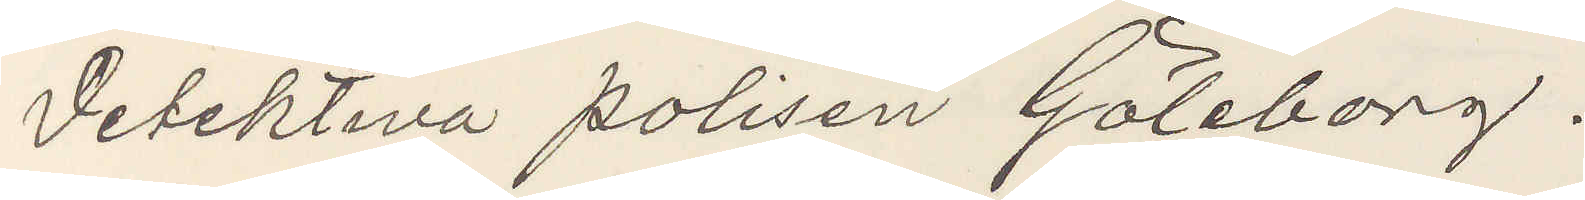Detektiva polisen Göteborg.
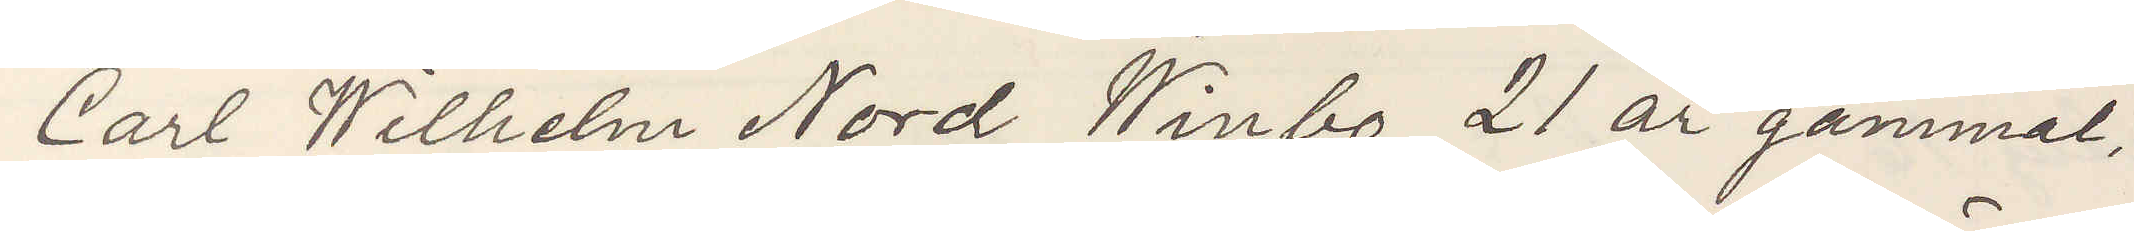Carl Wilhelm Nord Winbo 21 år gammal,
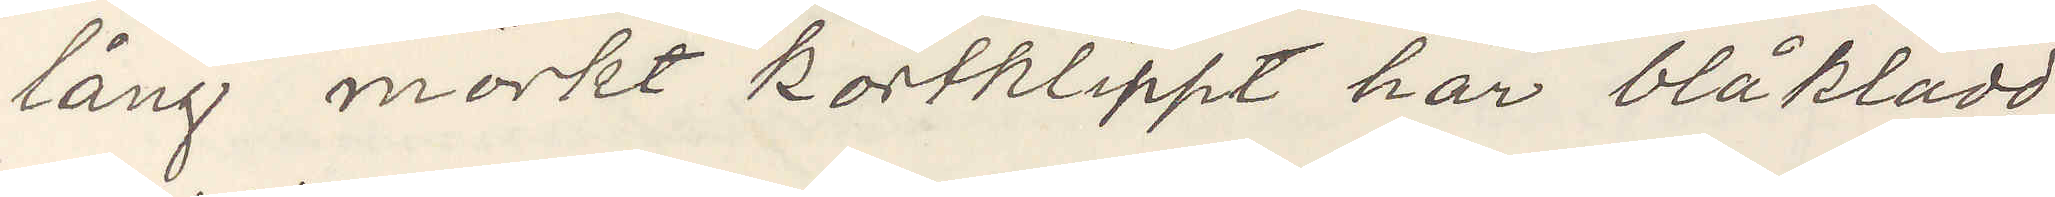lång mörkt kortklippt hår blåklädd
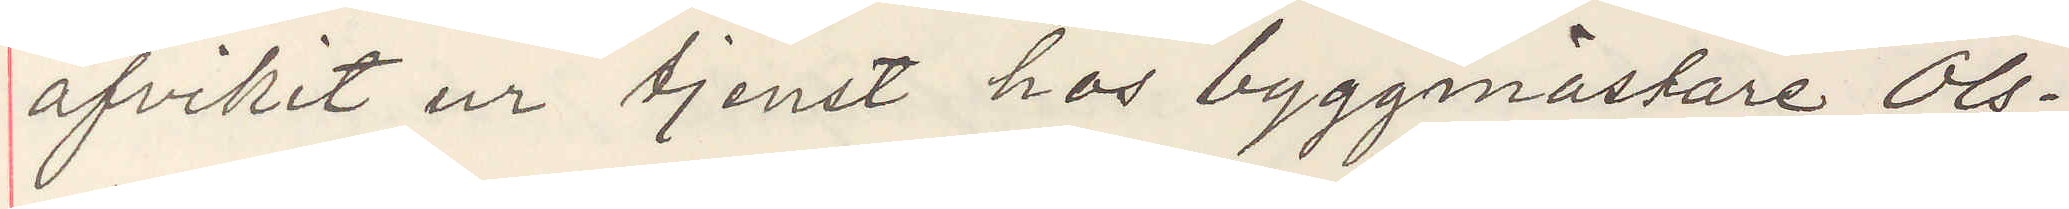afvikit ur tjenst hos byggmästare Ols¬
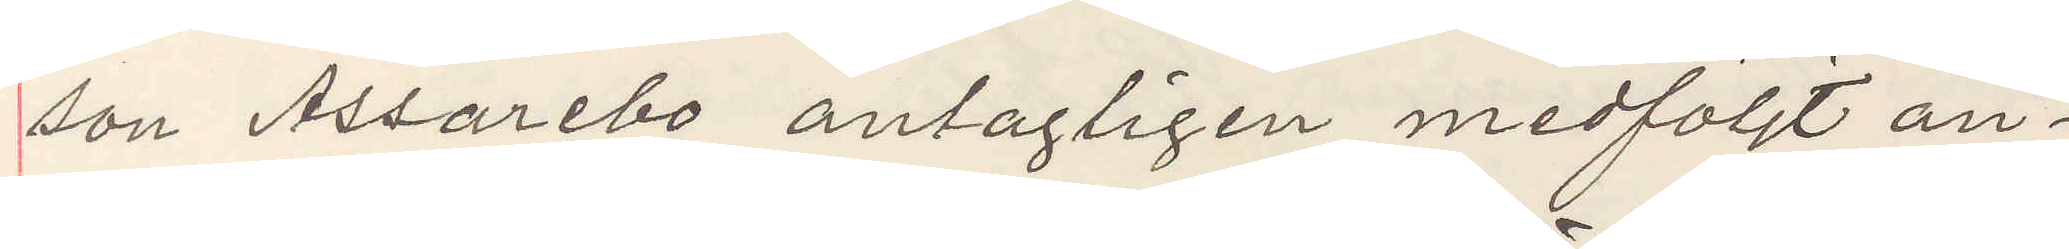son Assarebo antagligen medföljt ån¬
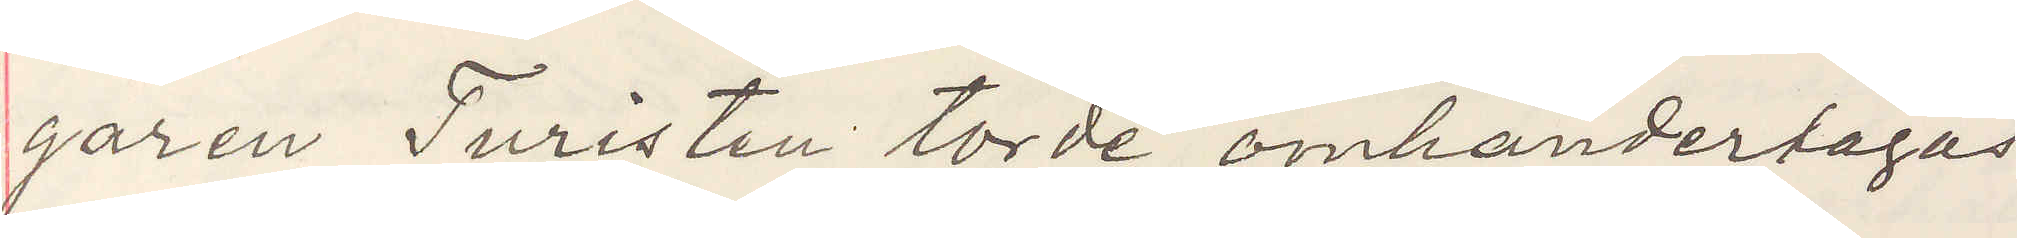garen Turisten torde omhändertagas
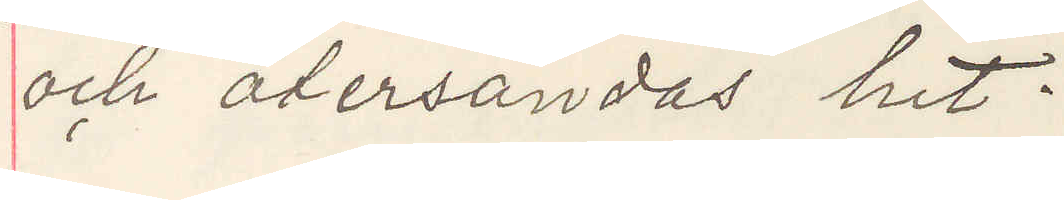och återsändas hit.
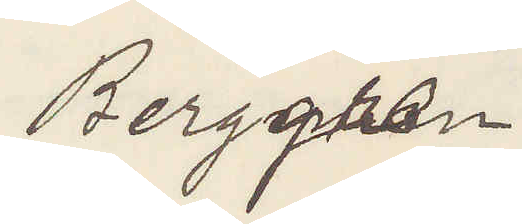Berggren
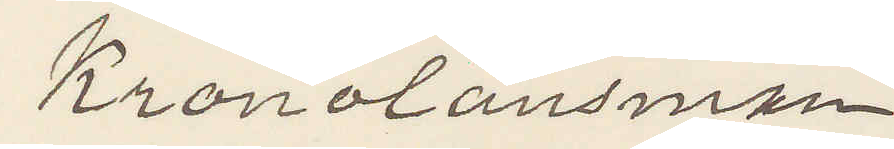Kronolänsman
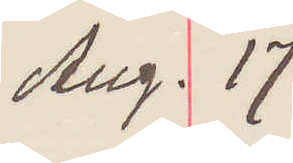Aug. 17
